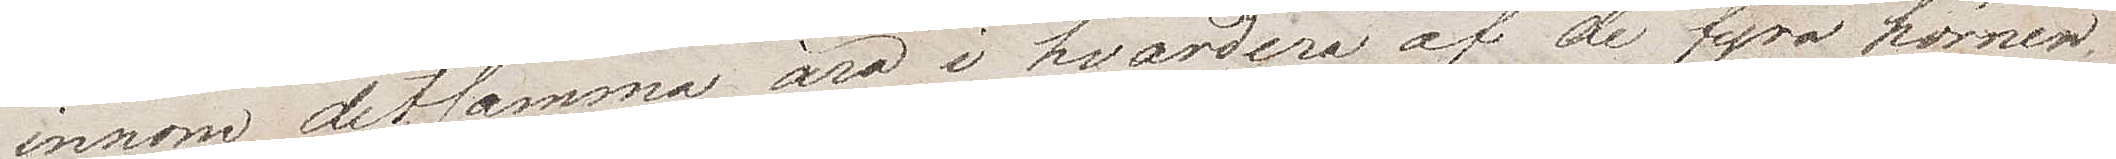Innom detsamma äro i vardera af de fyra hörnen
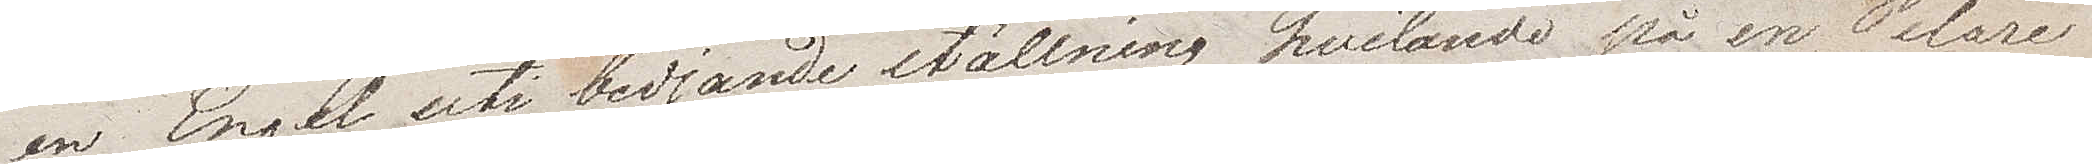en Engel uti bedjande ställning hvilande på en Pelare
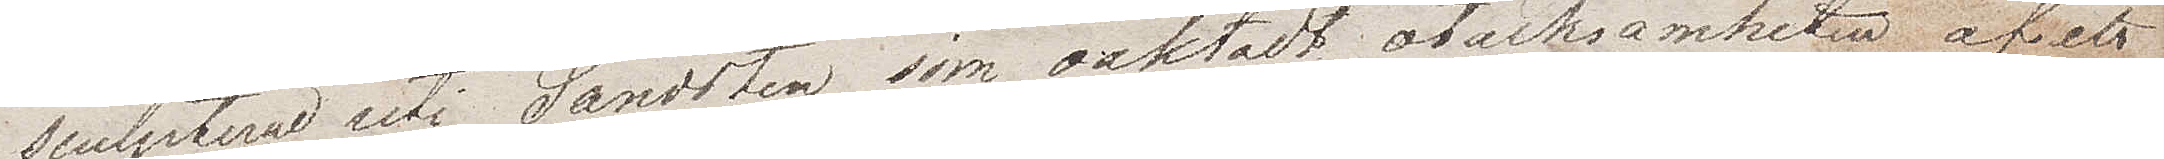sculpterad uti Sandsten som oaktadt otacksamheten af ett
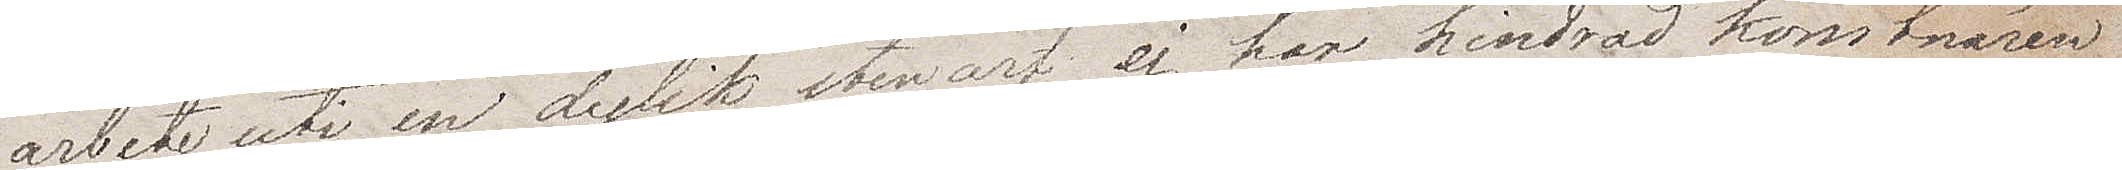arbete uti en dylik stenart, ej har hindrat konstnären
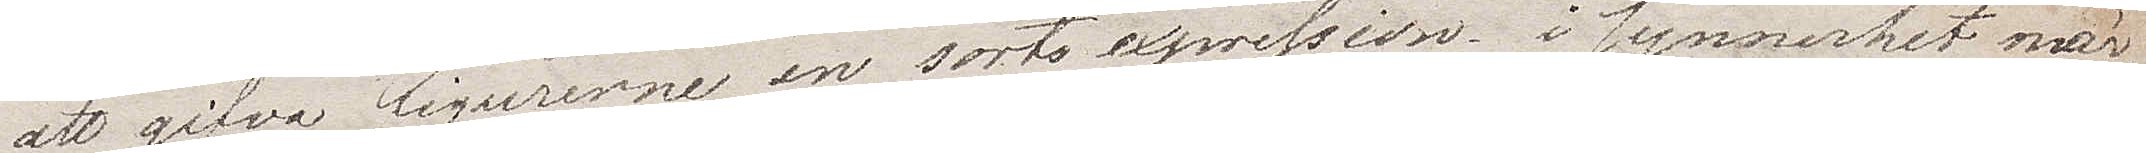att gifva figurerna en sorts expression. I synnerhet mär¬
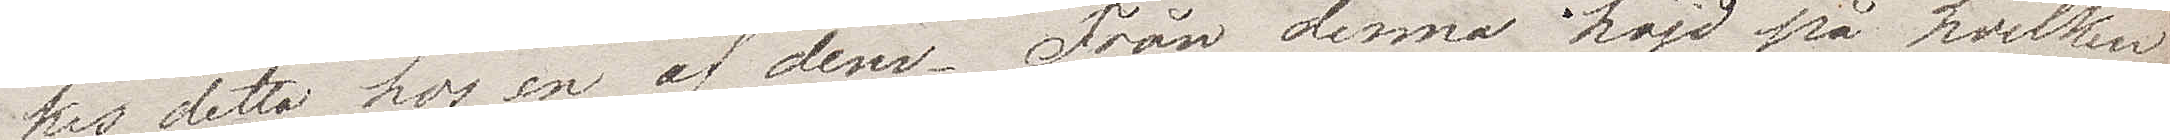kes detta hos en af dem. Från denna höjd på hvilken
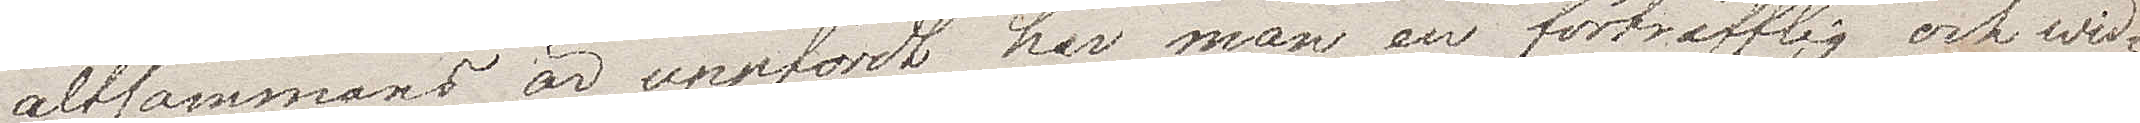altsammans är uppfördt har man en förträfflig och wid¬
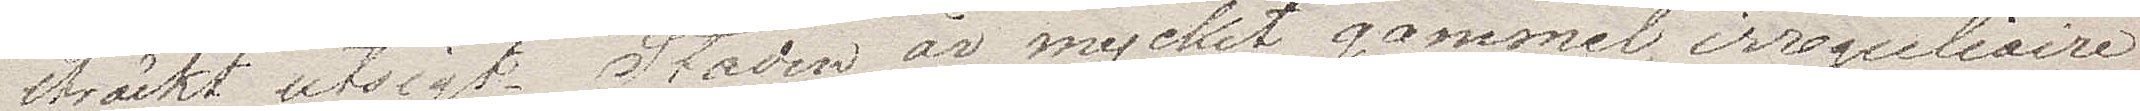sträckt utsigt. Staden är mycket gammel, irreguliaire
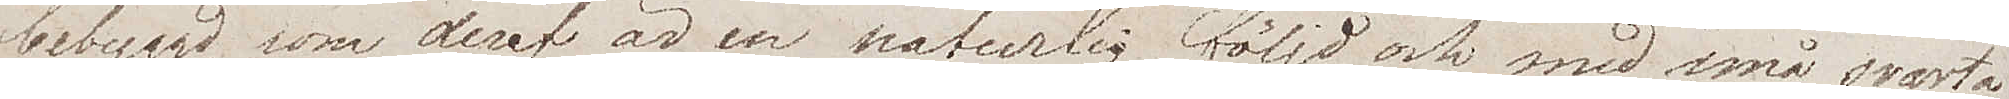bebyggd, som deraf är en naturlig följd, och med små svarta
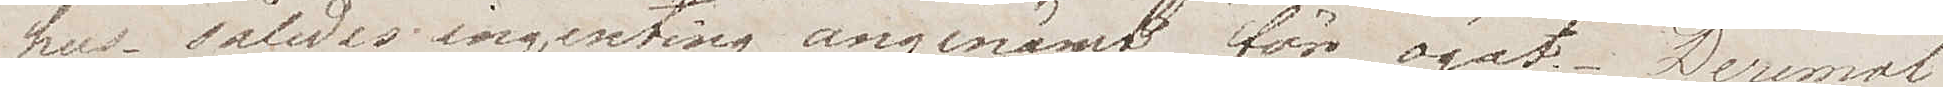hus, således ingenting angenämt för ögat. Deremot
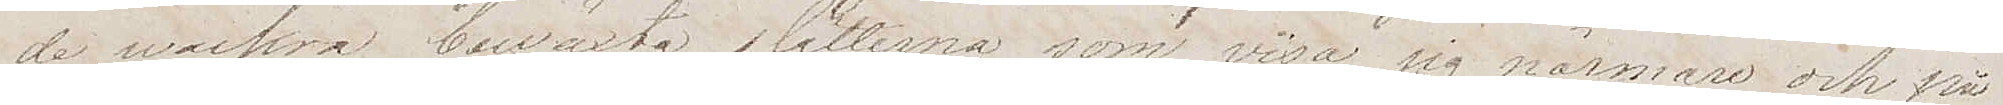de wackra beväxta slätterna som visar sig närmare och på
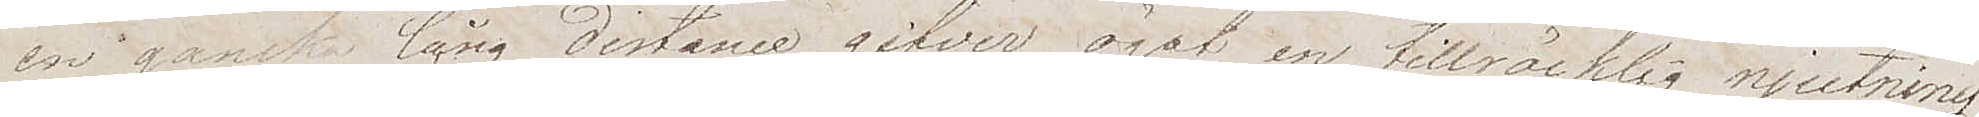en ganska lång distans gifver ögat en tillräcklig njutning.
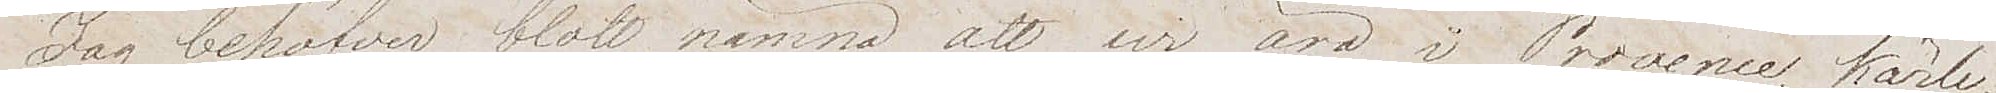Jag behöver blott nämna att wi äro i Provence, kärle¬
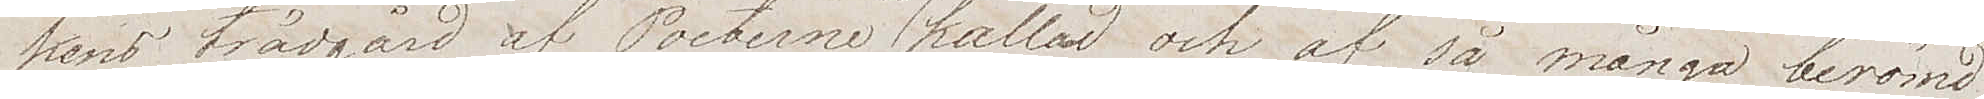kens trädgård av Poeterna så kallad och af så många berömd
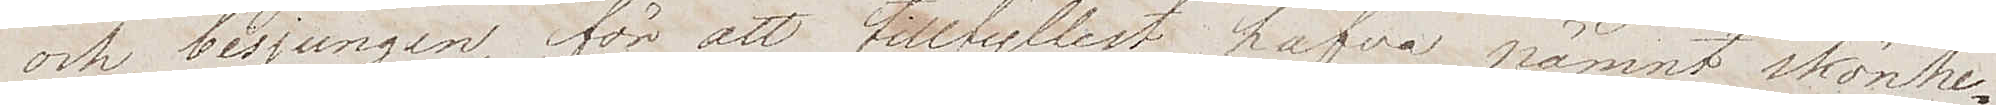och besjungen för att tillfyllest hafva nämnt skönhe¬
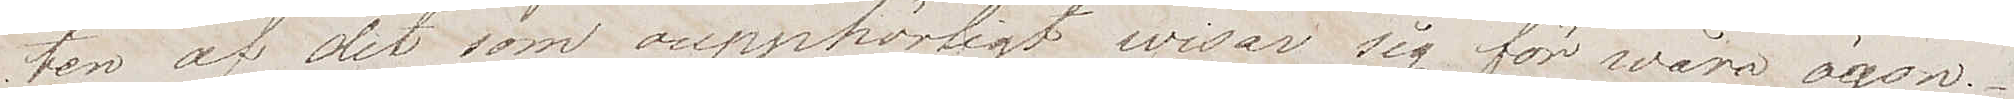ten av det som oupphörligt wisar sig för wåra ögon.
